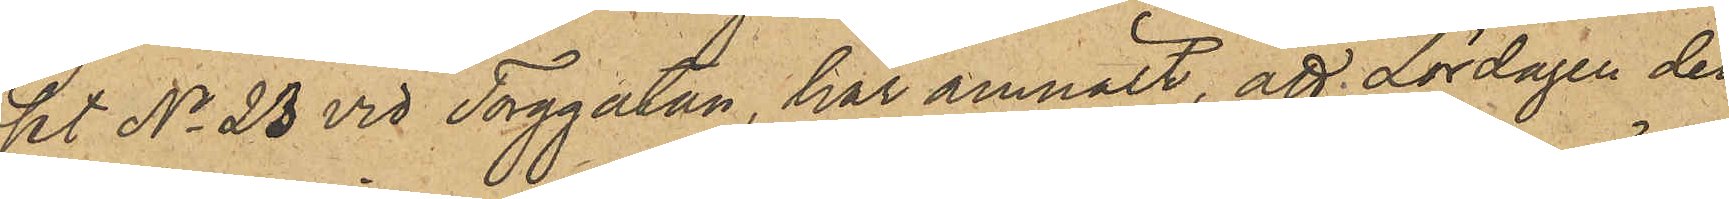set No 23 vid Torggatan, har anmält, att Lördagen den
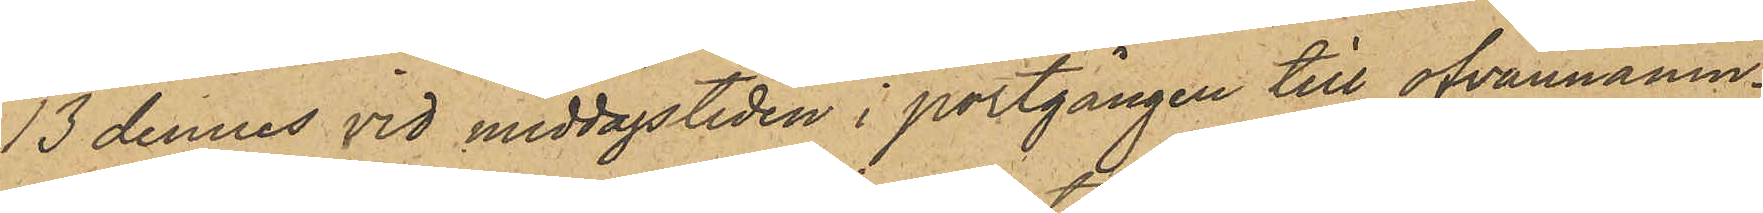13 dennes vid middagstiden i portgången till ofvannämn¬
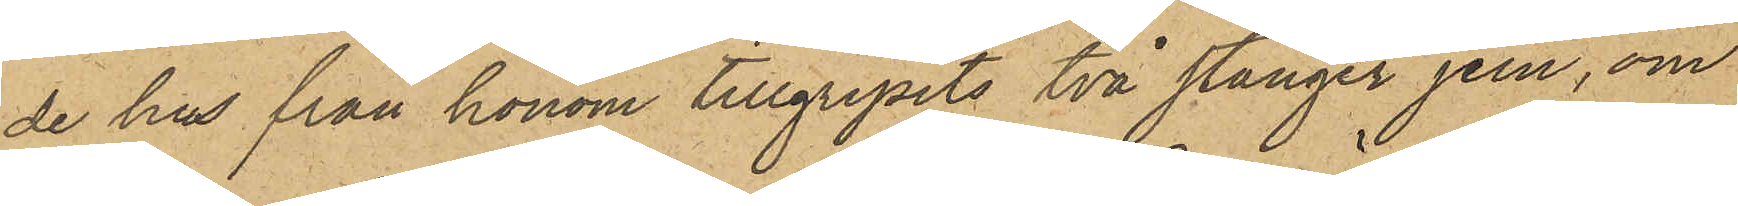de hus från honom tillgripits två stänger jern, om
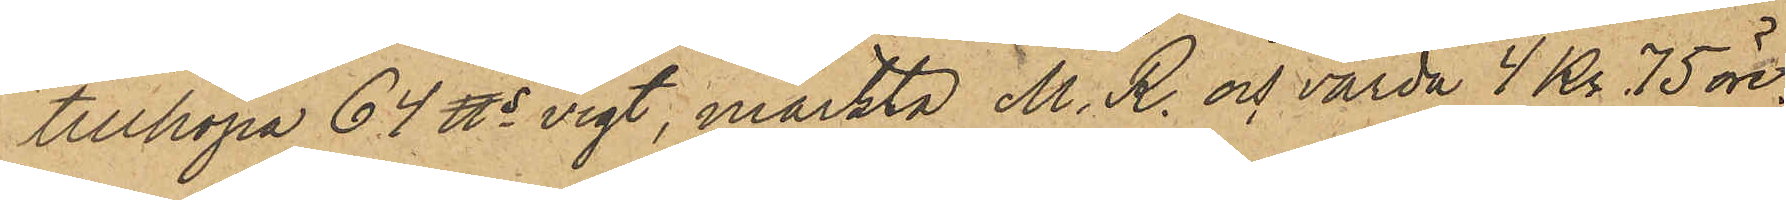tillköpa 64 ℔s vigt, märkta M. R. och värda 4 Kr 75 öre.
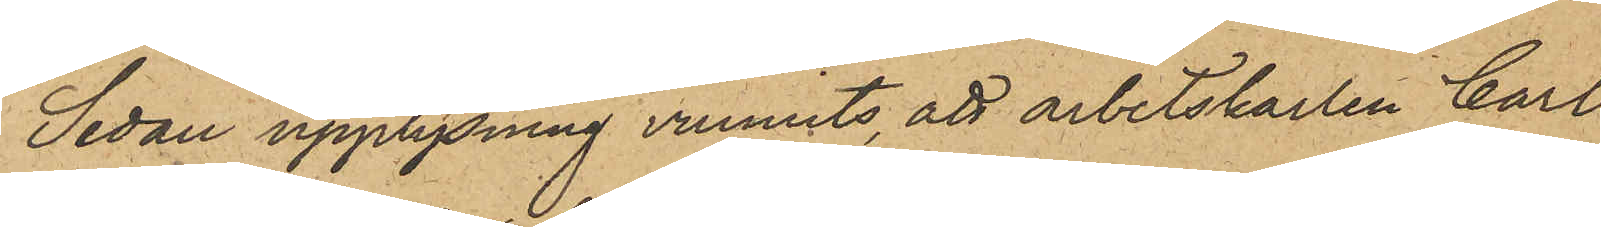Sedan upplysning vunnits, att arbetskarlen Carl
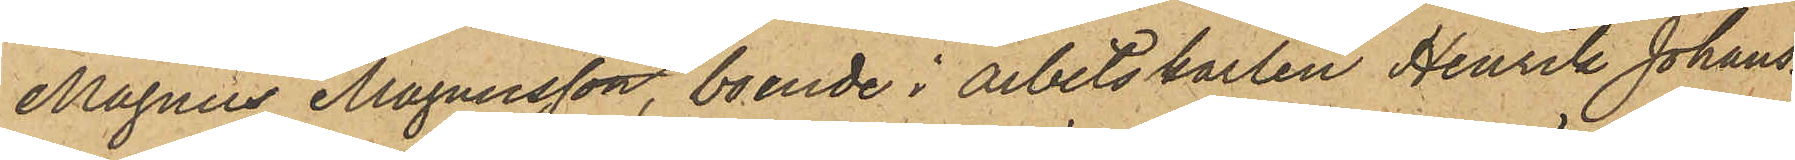Magnus Magnusson, boende i arbetskarlen Henrik Johans¬
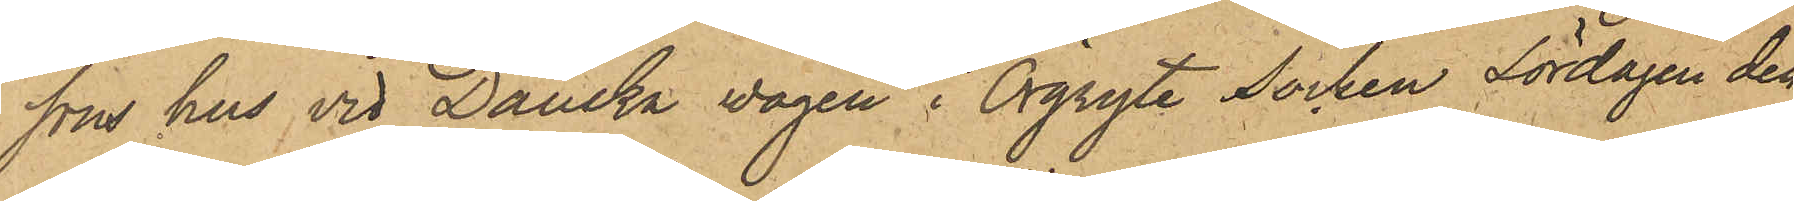sons hus vid Danska wägen i Örgryte Socken Lördagen den
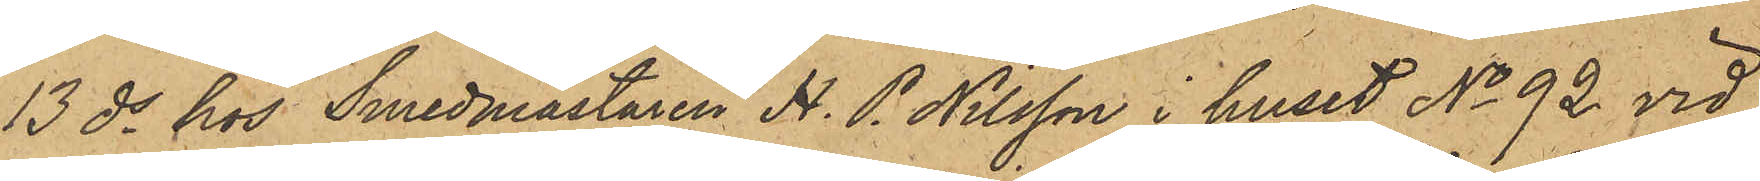13 ds hos Smedmästaren H. P. Nilsson i huset No 92 vid
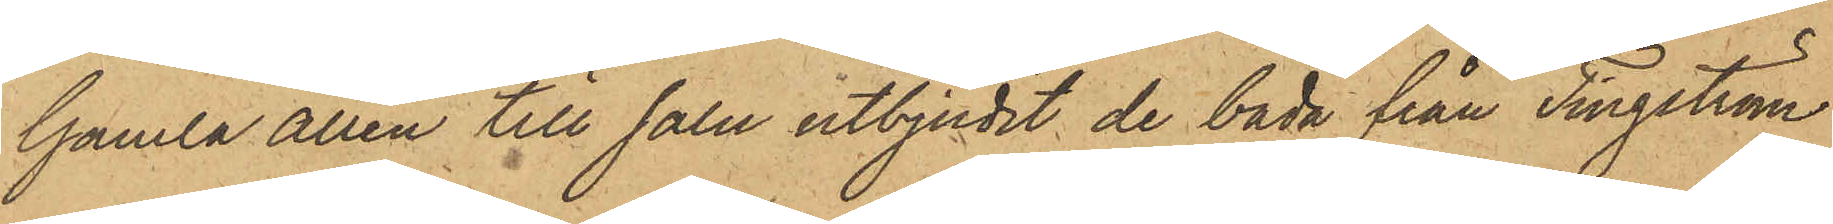Gamla allén till salu utbjudit de båda från Tingström
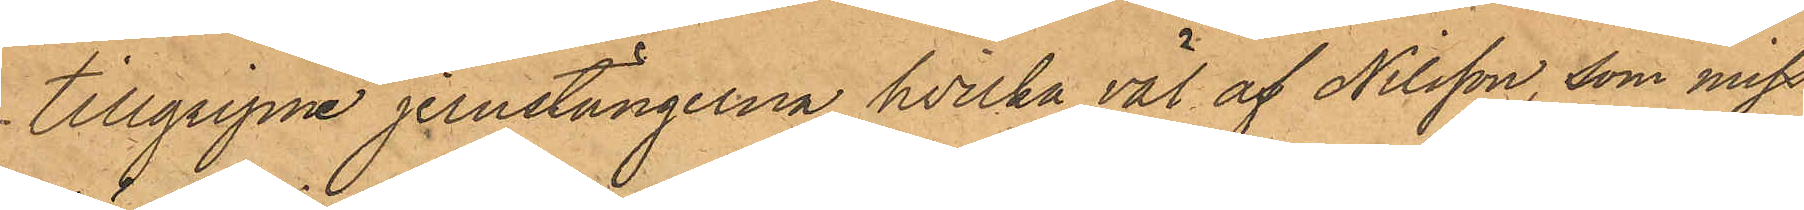tillgripne jernstängerna, hvilka väl af Nilsson, som miss¬
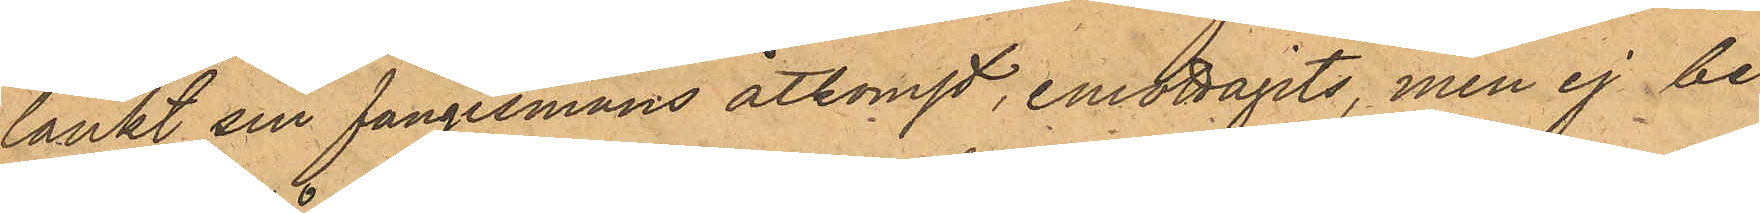tänkt sin fångesmans åtkomst, emottagits, men ej be¬
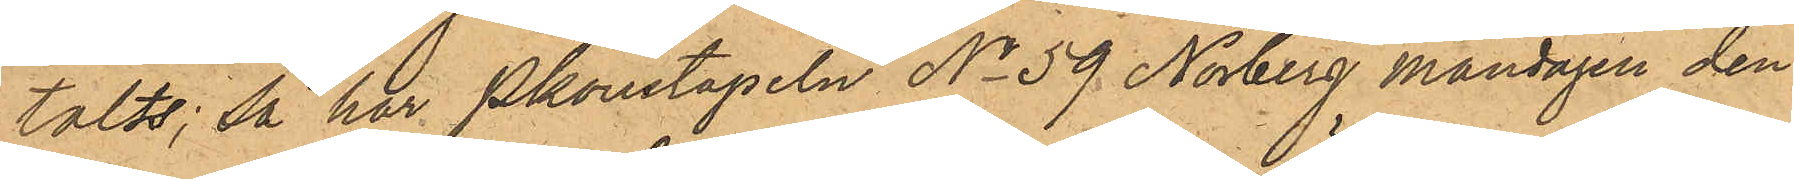talts; så har Pkonstapeln No 59 Norberg Måndagen den
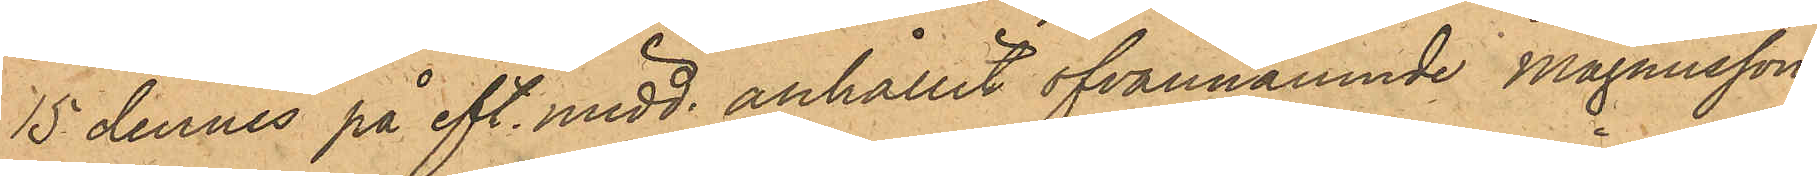15 dennes på eft. midd. anhållit ofvannämnde Magnusson,
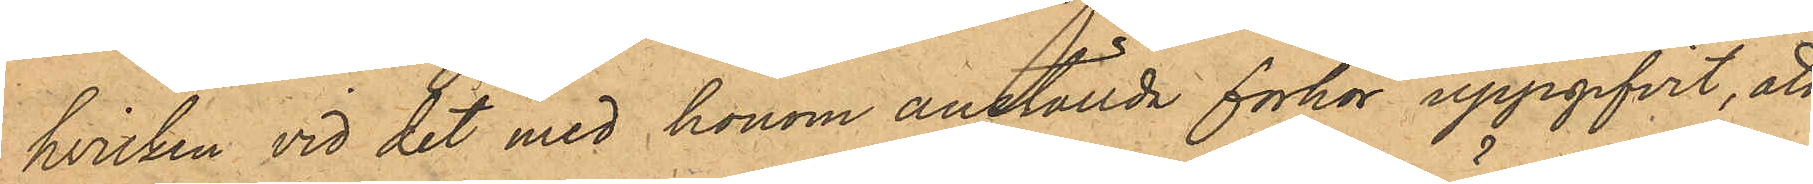hvilken vid det med honom anställda förhör uppgifvit, att
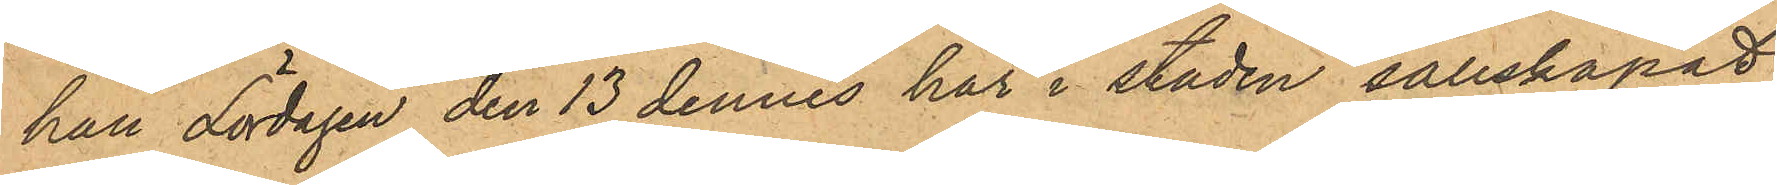han Lördagen den 13 dennes här i staden sällskapat
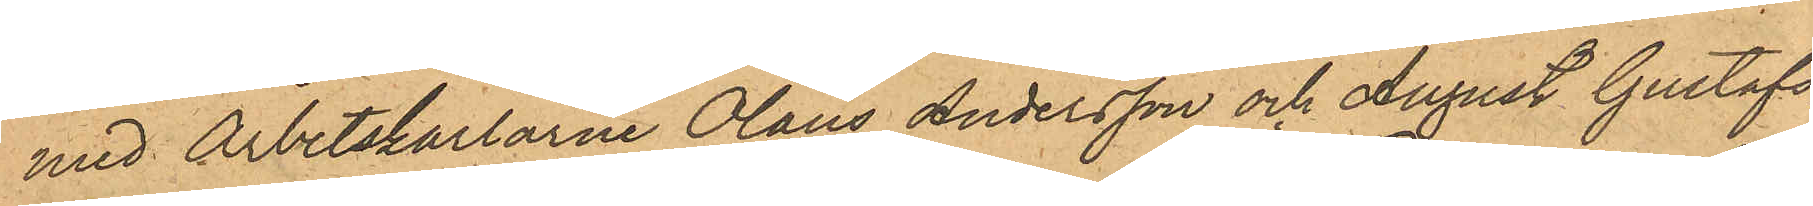med Arbetskarlarne Olaus Andersson och August Gustafs¬
